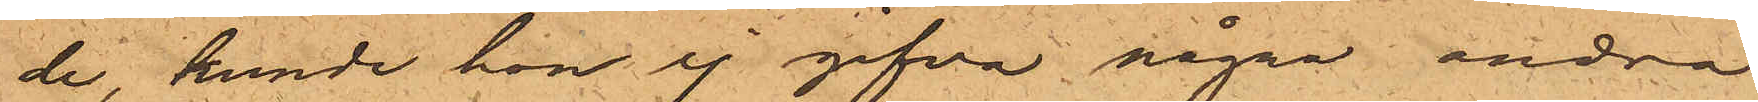de, kunde hon ej gifva några andra
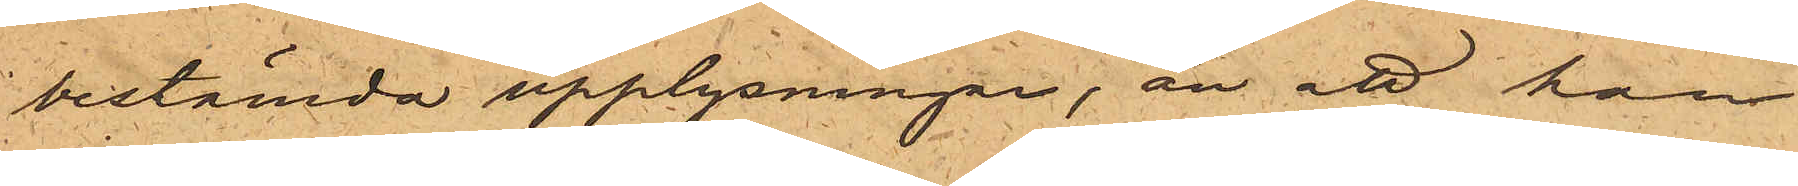bestämda upplysningar, än att han
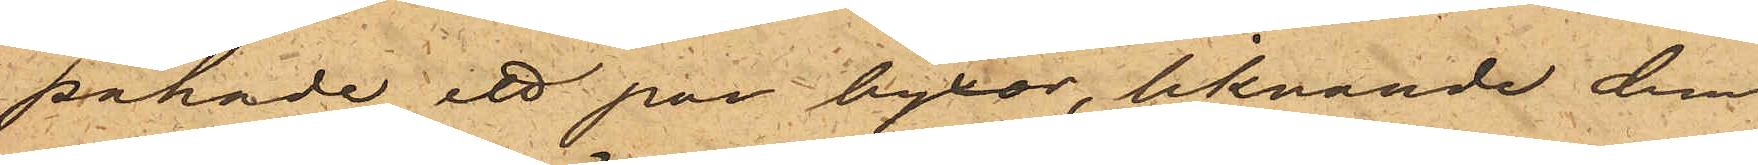påhade ett par byxor, liknande dem
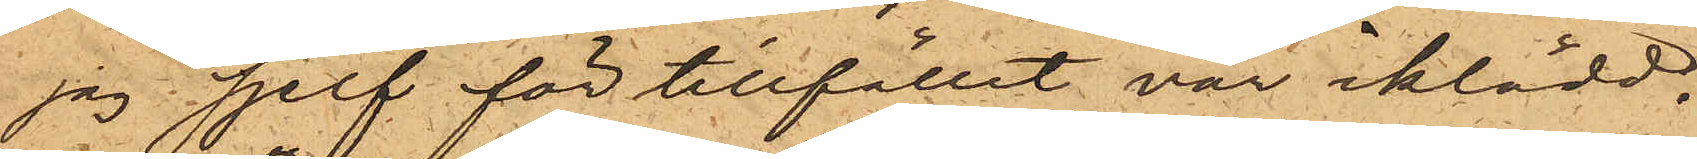jag  sjelf för tillfället var iklädd.
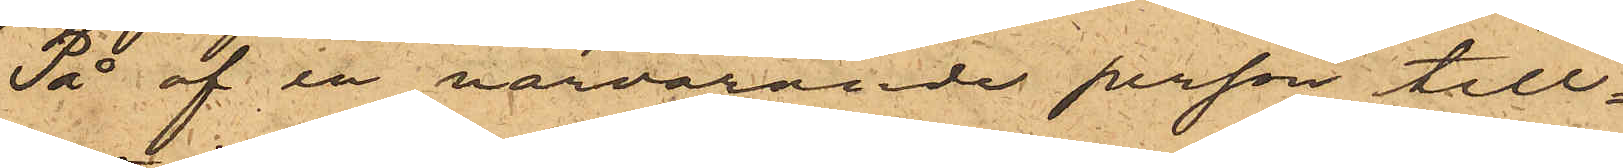På af en närvarande person till¬
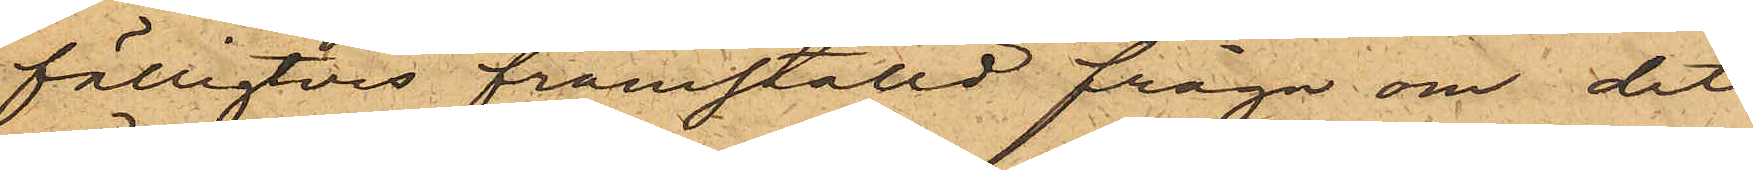fälligtvis framställd fråga om det
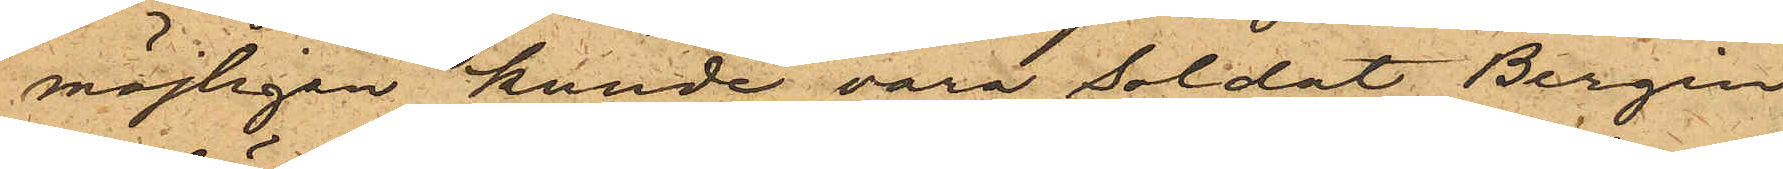möjligen kunde vara soldat Bergin
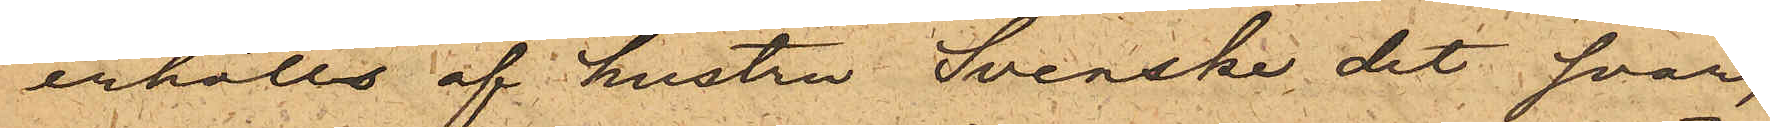erhölls af hustru Svenska det svar,
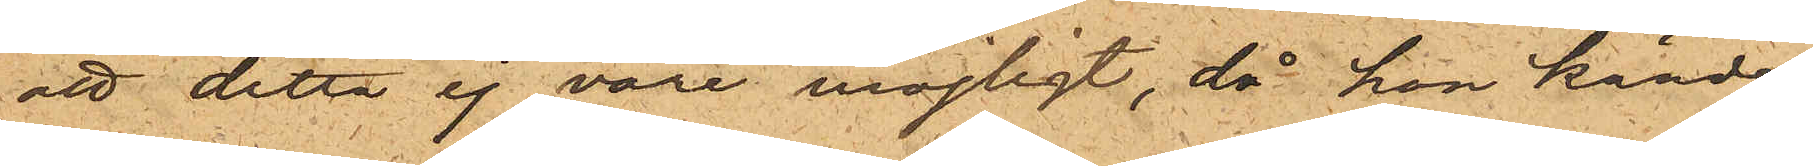att detta ej vore möjligt, då hon kände
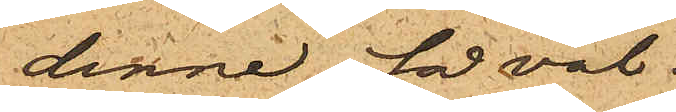denne för väl.
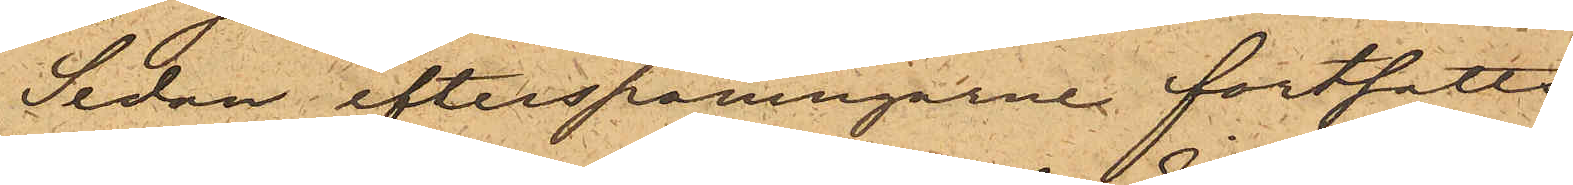Sedan efterspaningarne fortsatts
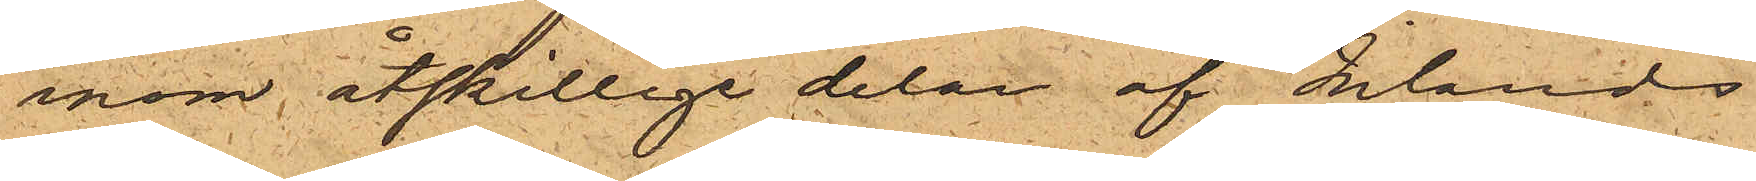inom åtskillige delar af Inlands
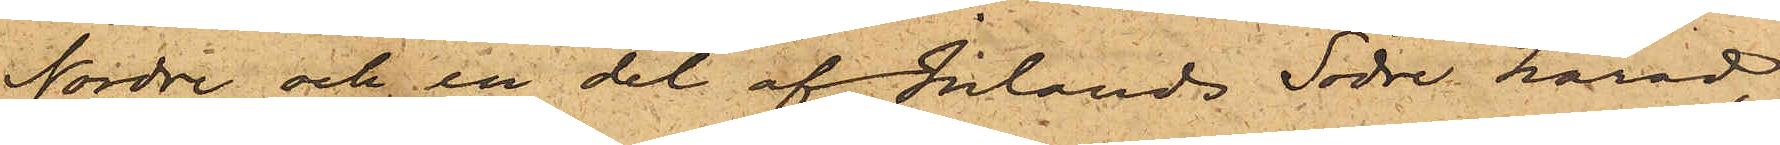Nordre och en del af Inlands Södre härad,
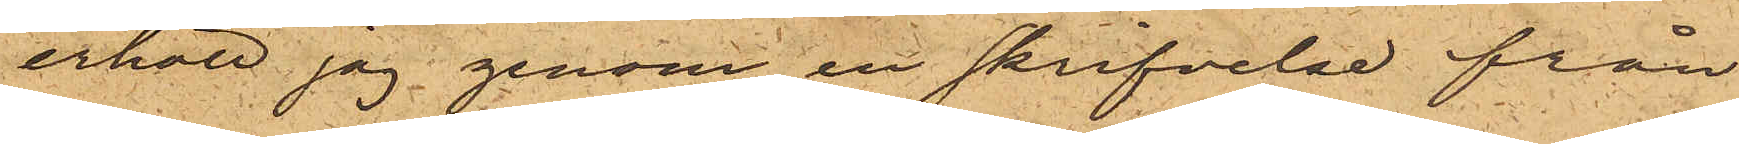erhöll jag genom en skrifvelse från
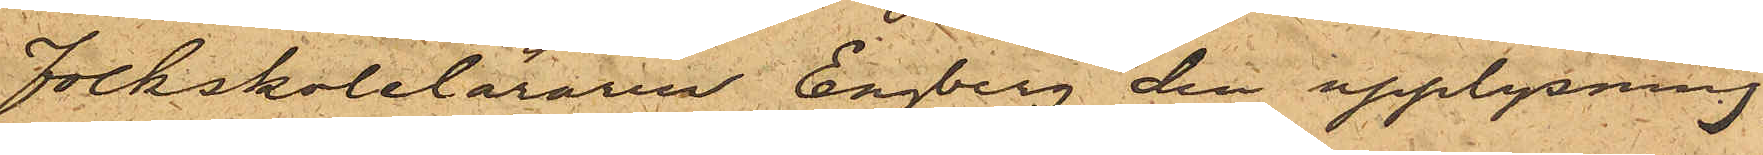Folkskoleläraren Engberg den upplysning,
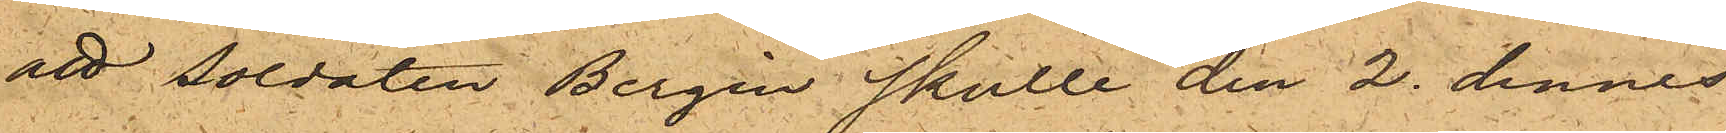att soldaten Bergin skulle den 2 dennes
